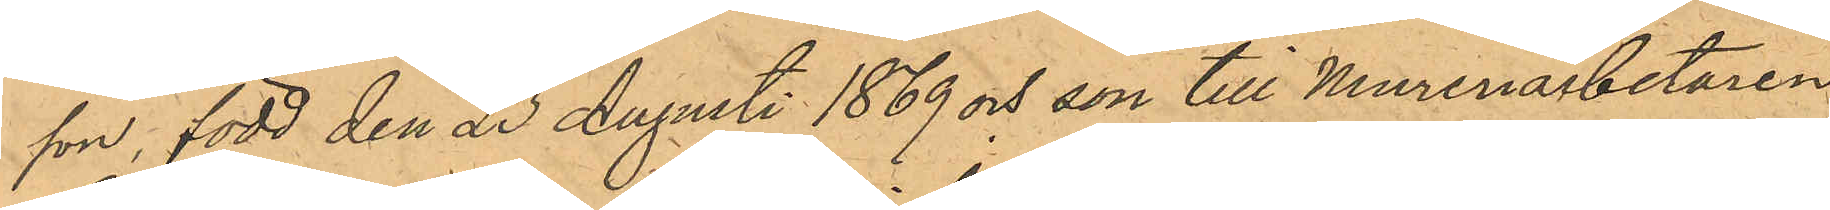son, född den 23 Augusti 1869 och son till Mureriarbetaren
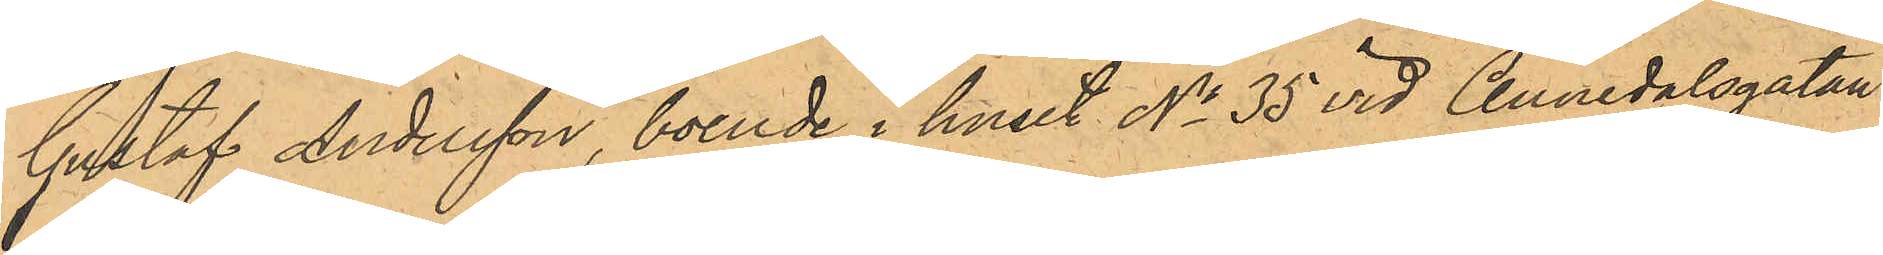Gustaf Andersson, boende i huset No 35 vid Annedalsgatan
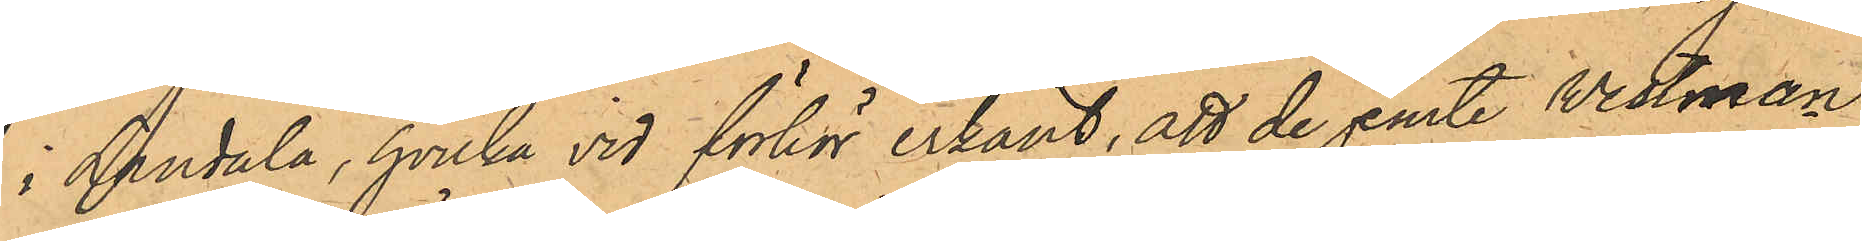i Landala, hvilka vid förhör erkänt, att de jemte Westman
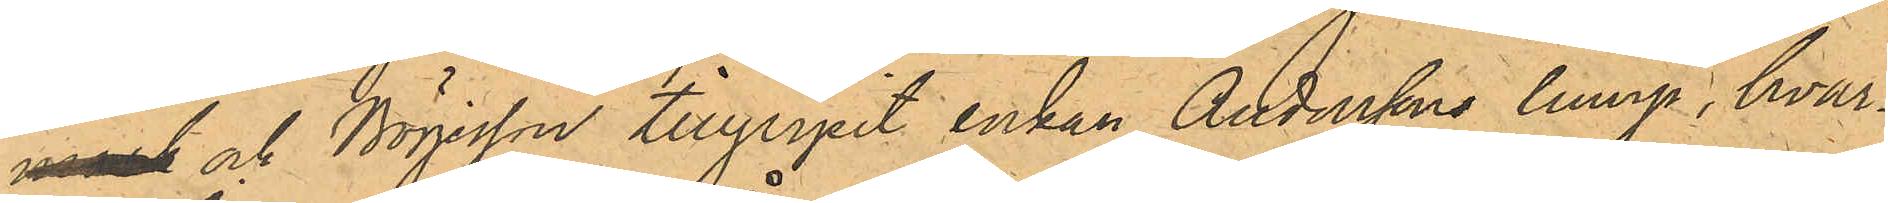mork och Börjesson tillgripit enkan Anderssons lump, hvar¬
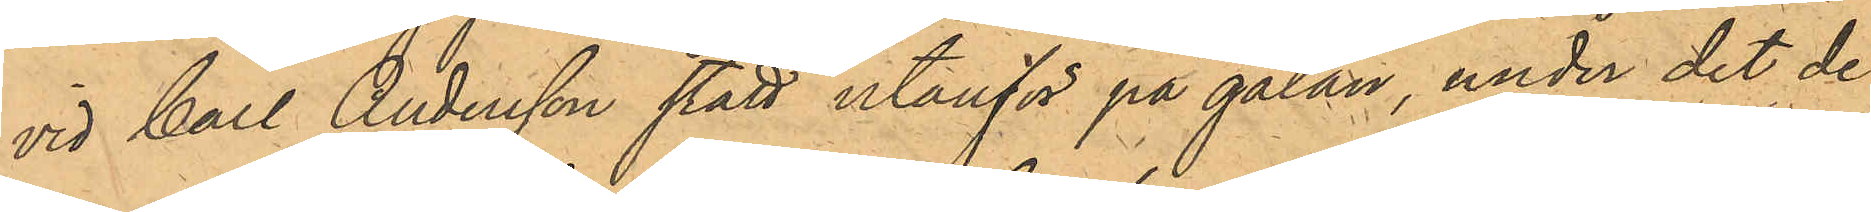vid Carl Andersson stått utanför på gatan, under det de
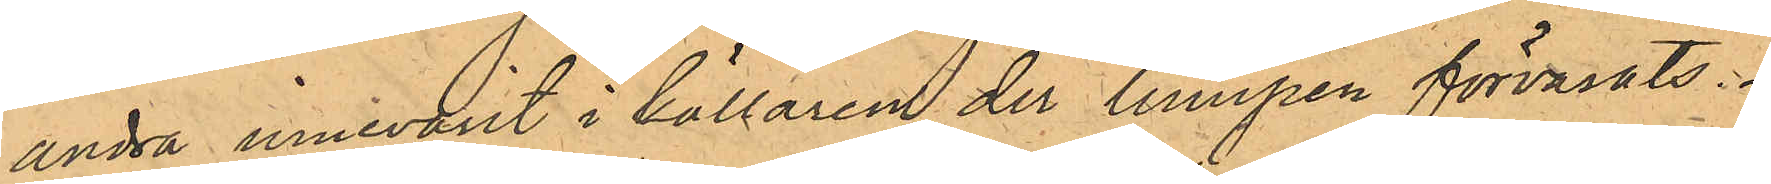andra innevarit i källaren der lumpen förvarats.
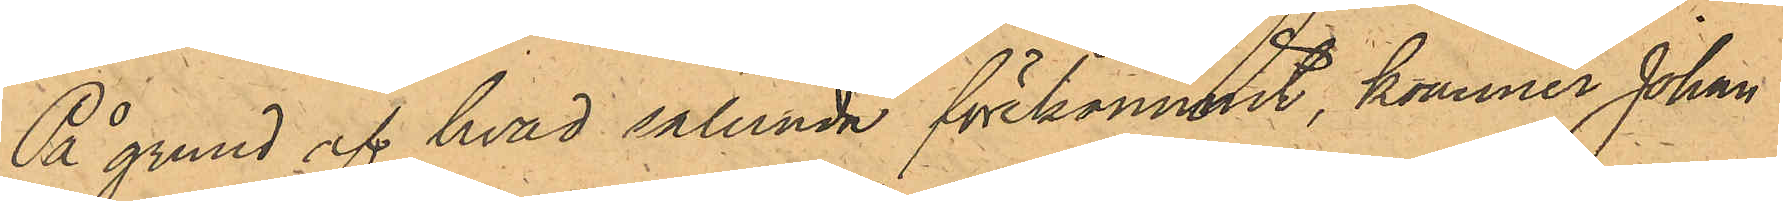På grund af hvad sålunda förekommit, kommer Johan
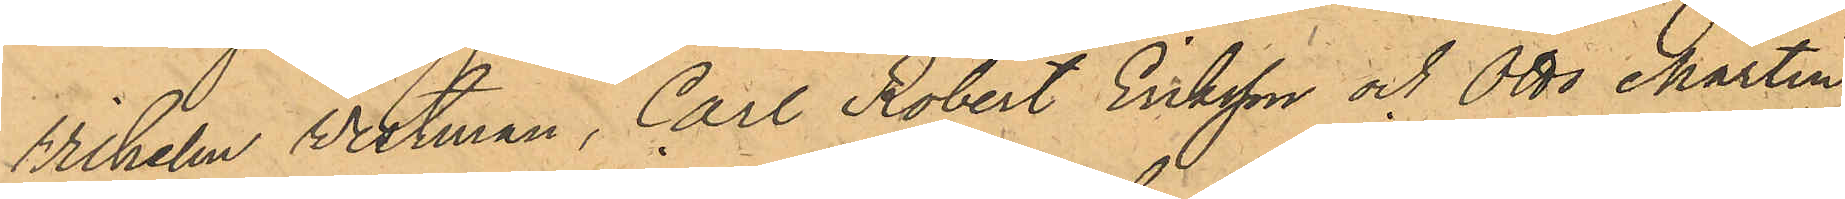Wilhelm Vestman, Carl Robert Eriksson och Otto Martin
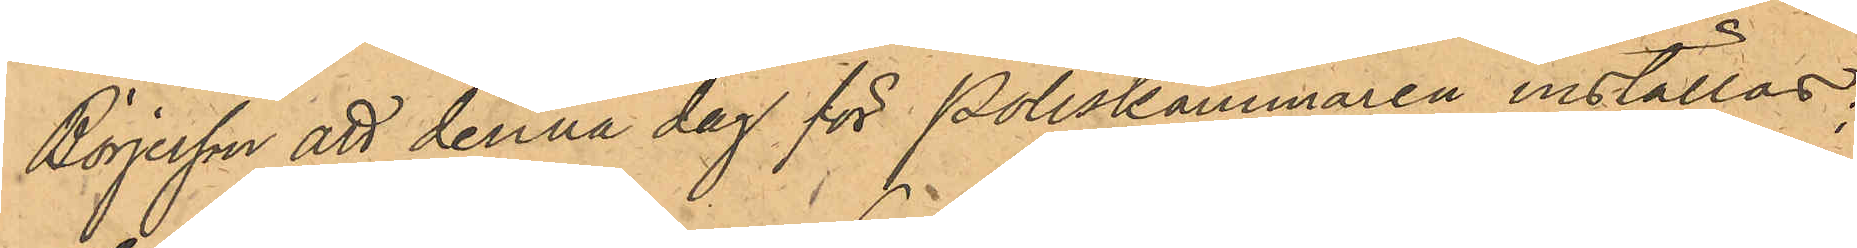Börjesson att denna dag för Poliskammaren inställas;
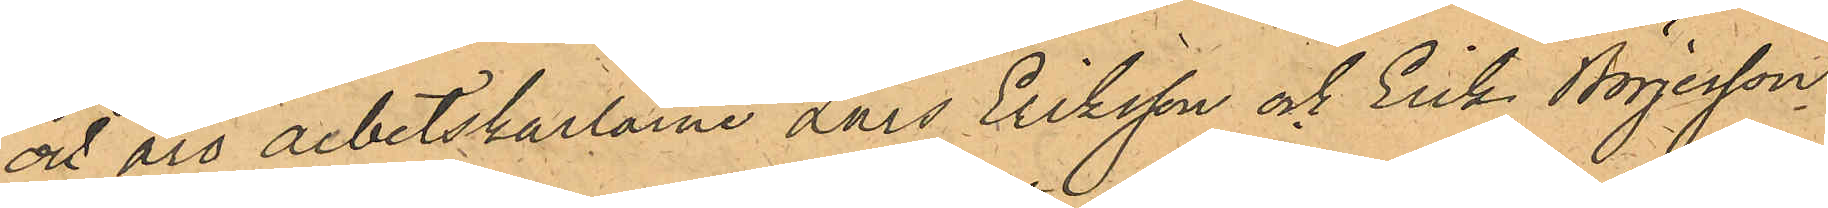ock äro arbetskarlarne Lars Eriksson och Erik Börjesson,
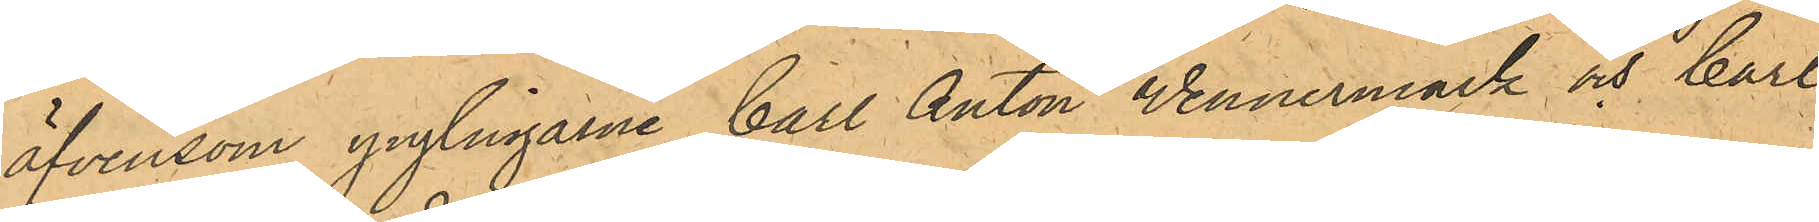äfvensom ynglingarne Carl Anton Vennermark och Carl
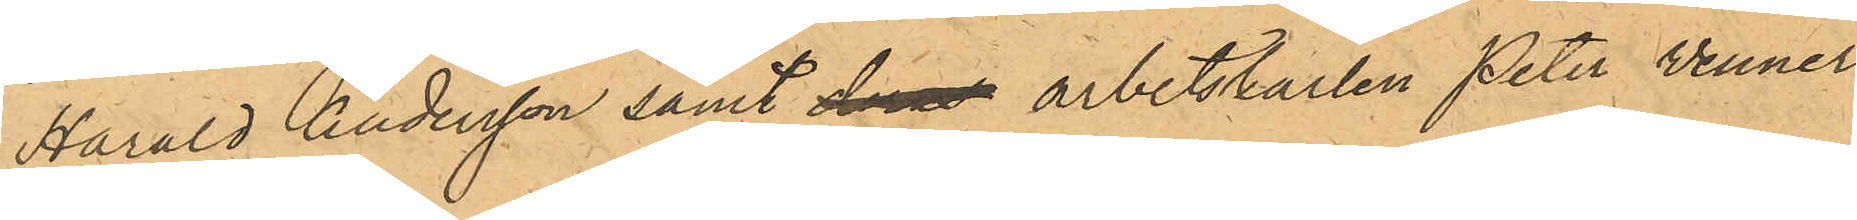Harald Andersson samt deras arbetskarlen Peter Venner¬
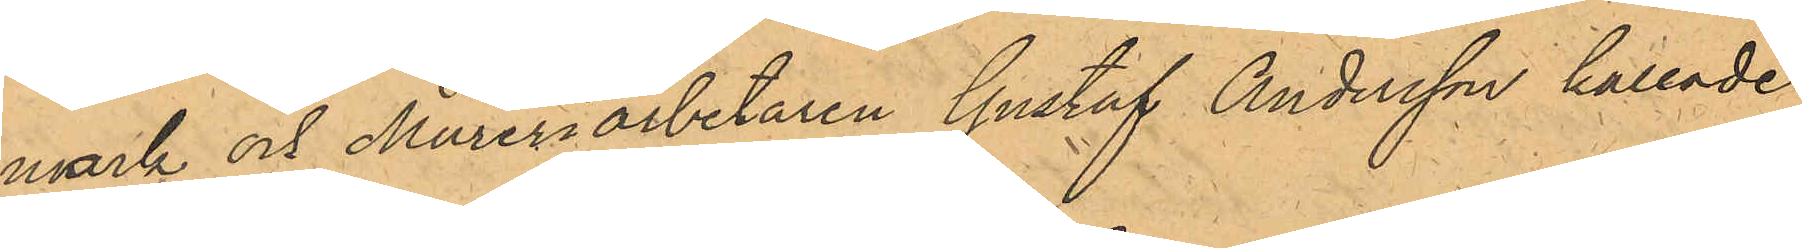mark och Mureriarbetaren Gustaf Andersson kallade
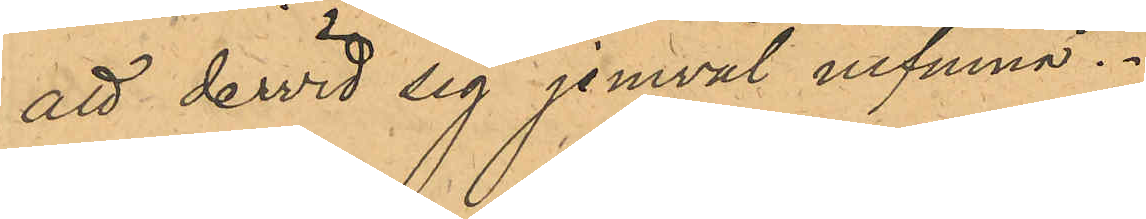att dervid sig jemväl infinna.
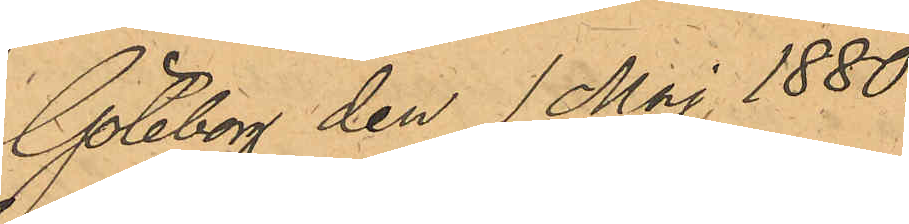Göteborg den 1 Maj 1880.
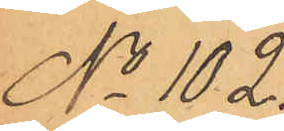No 102.
